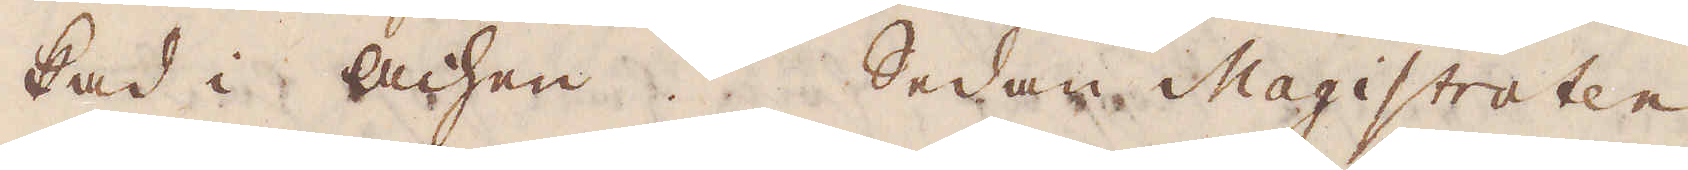kad i Achen. Sedan Magistraten
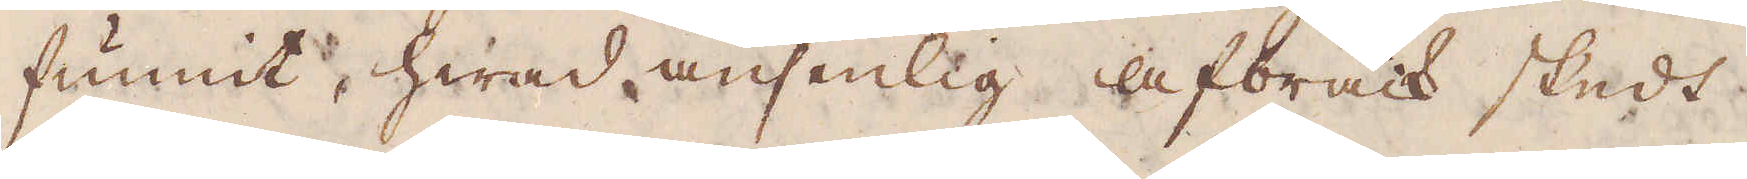funnit, hwad ansenlig afbräck skedt
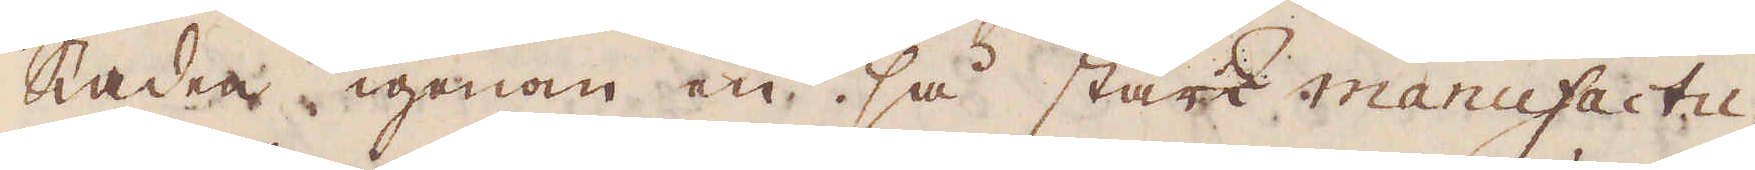staden igenom en så stark manufactu-
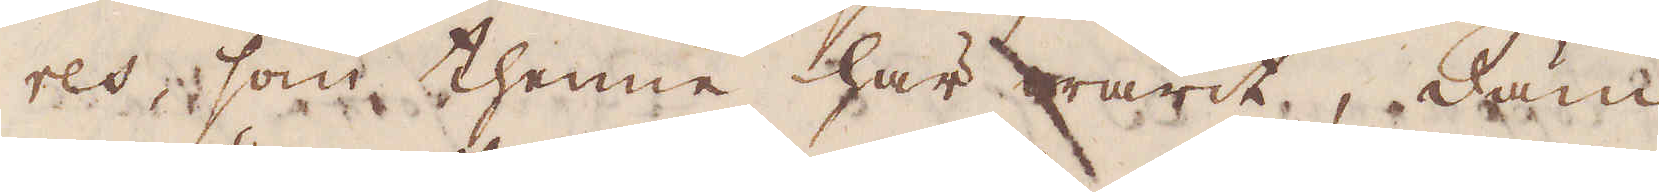res, som thenne här warit, däm-
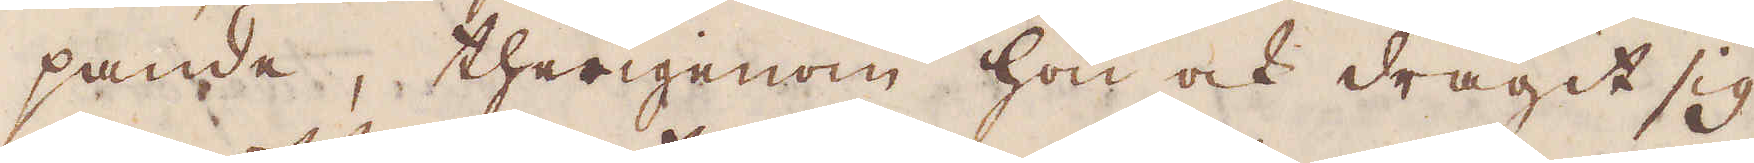pande, therigenom hon ock dragit sig
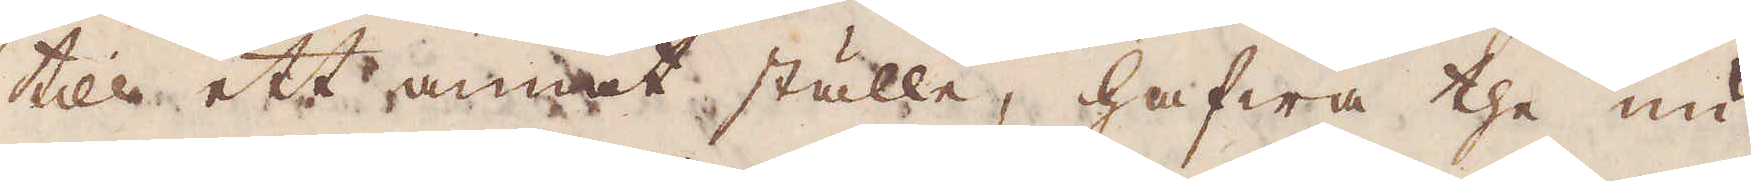till ett annat ställe, hafwa the nu
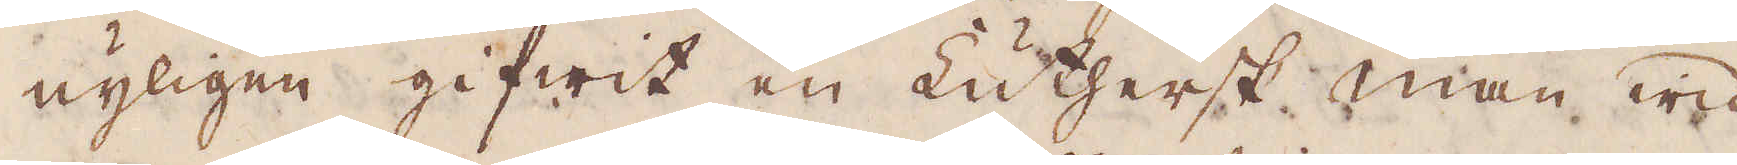nyligen gifwit en Luthersk man wid
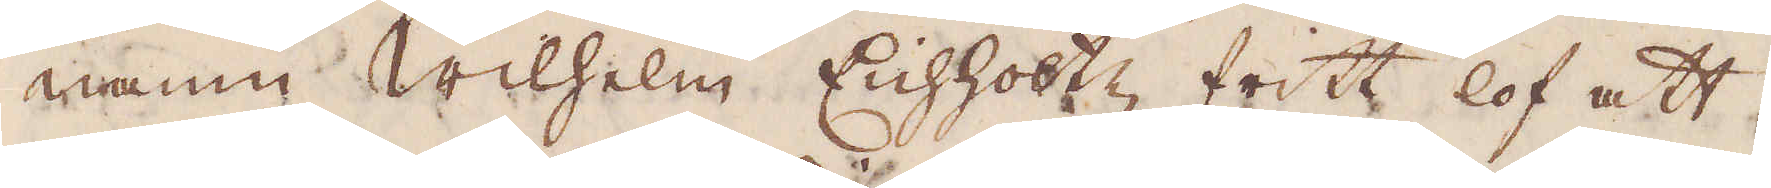namn Wilhelm Enhholtz fritt lof att
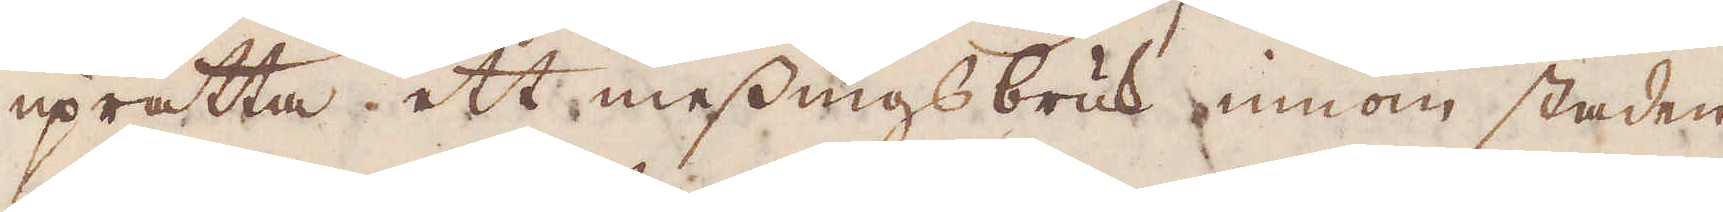uprätta ett messingsbruk innom staden
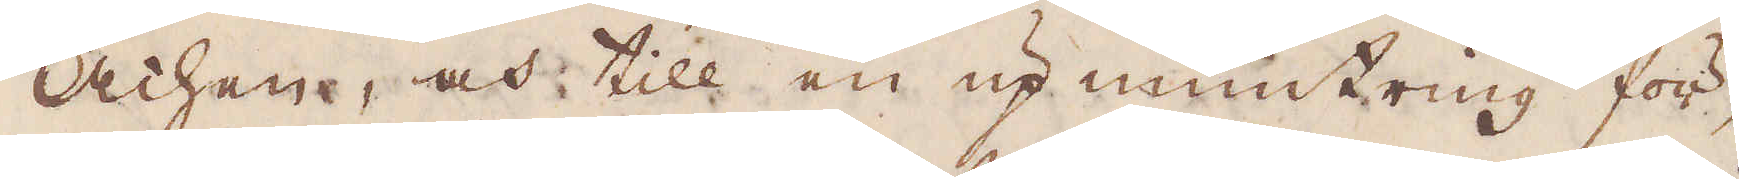Achen, och till en upmuntring för-
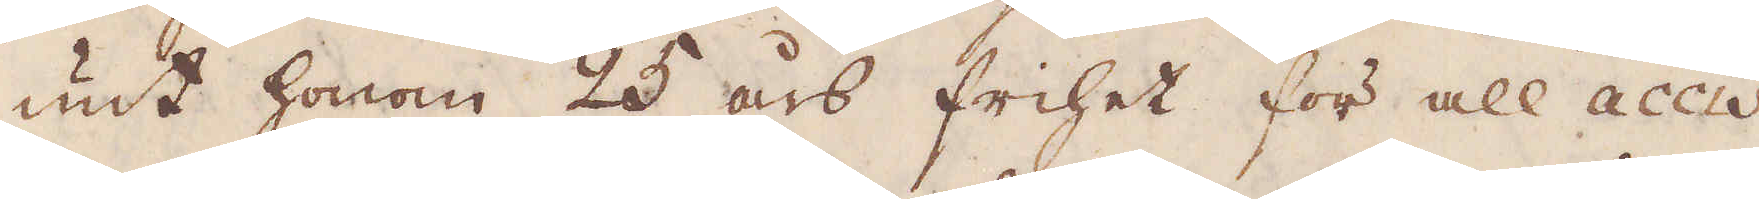unt honom 25 års frihet för all accis
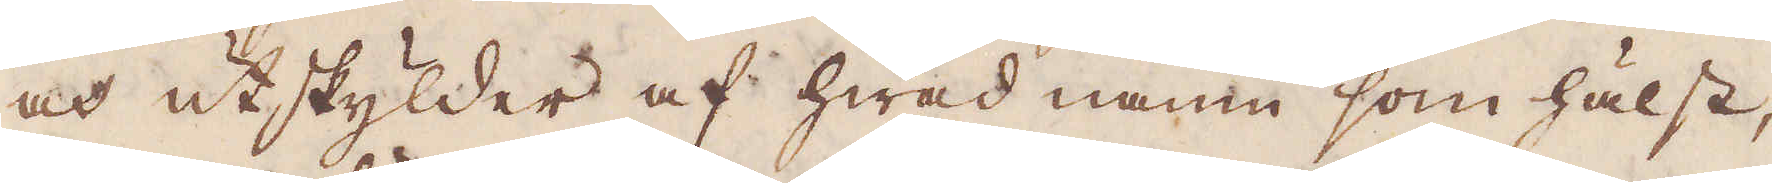och utskylder af hwad namn som hälst,
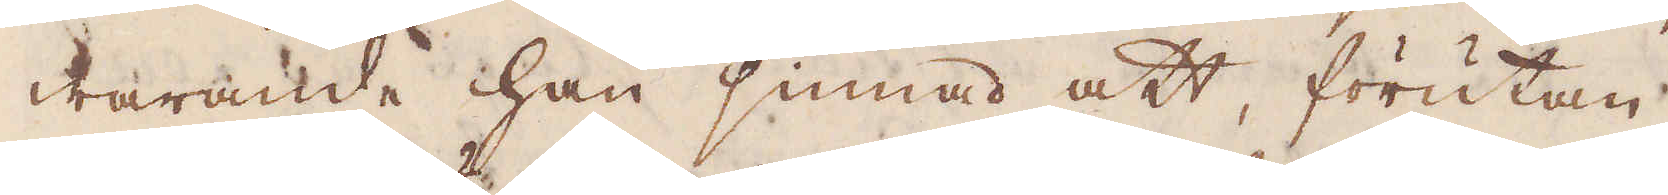warande han sinnad att, förutan
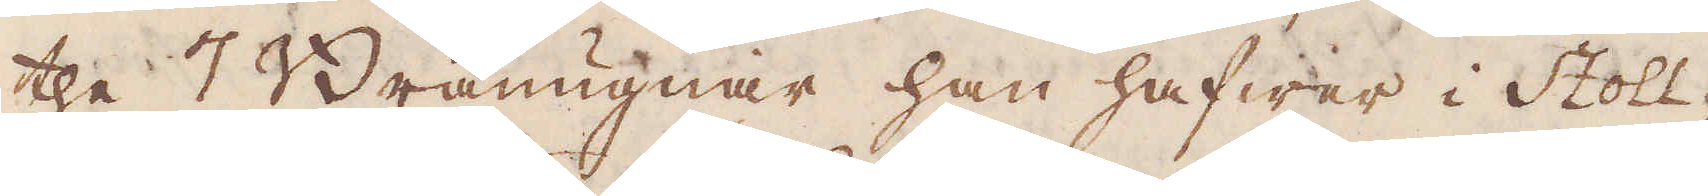the 7 Bränugnar han hafwer i Stoll-
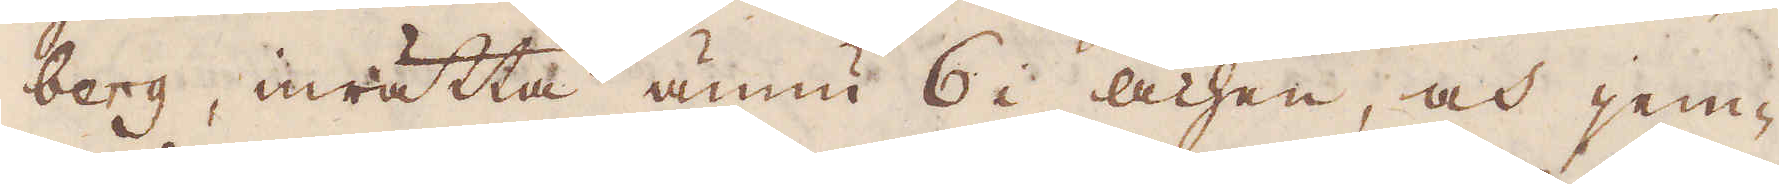berg, inrätta ännu 6 i Achen, och jem-
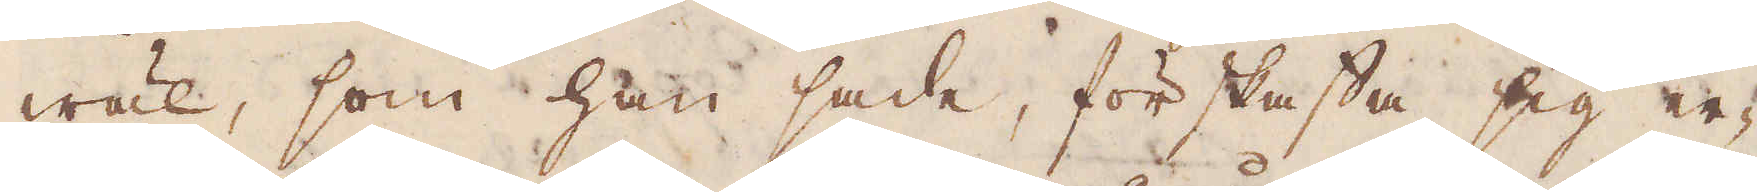wäl, som han sade, förskaffa sig er-
